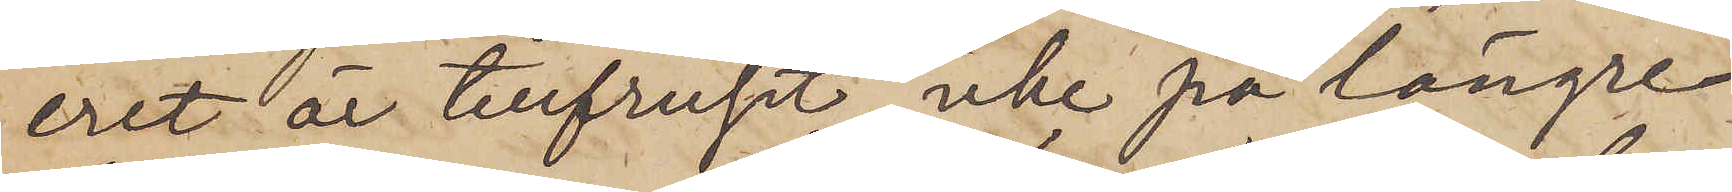eret är tillfruset, icke på längre
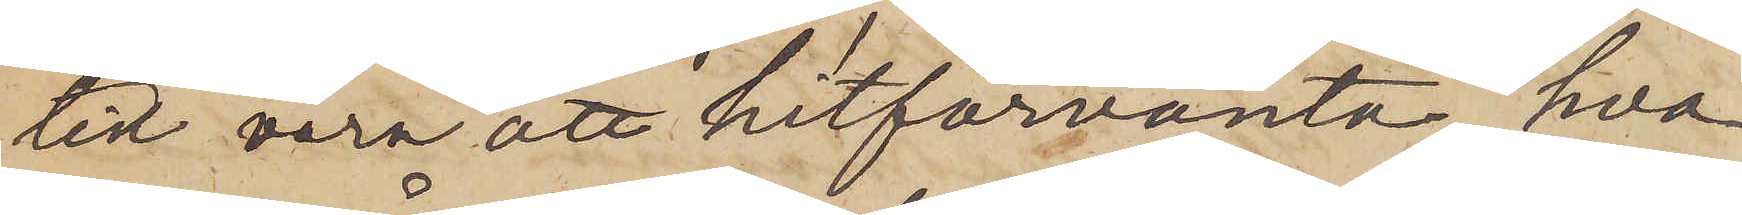tid vara att hitförvänta, hva¬
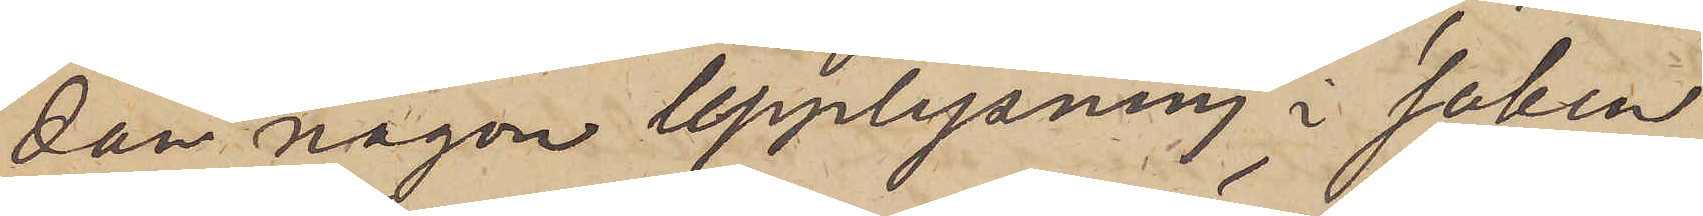dan någon upplysning i saken
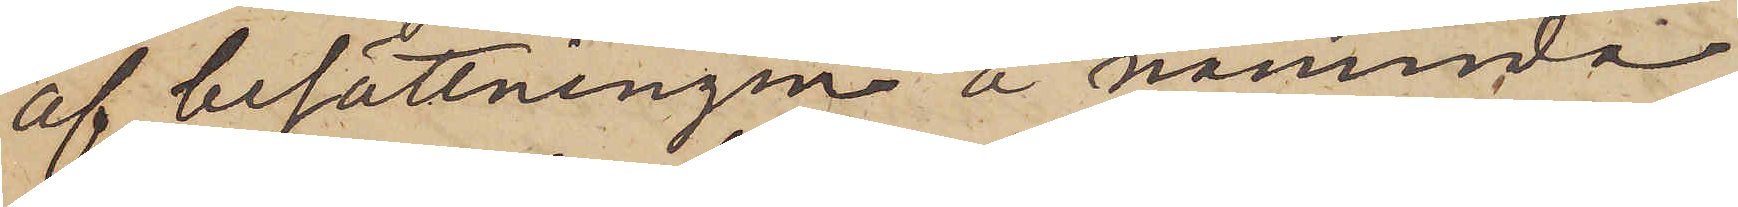af besättningen å nämnda
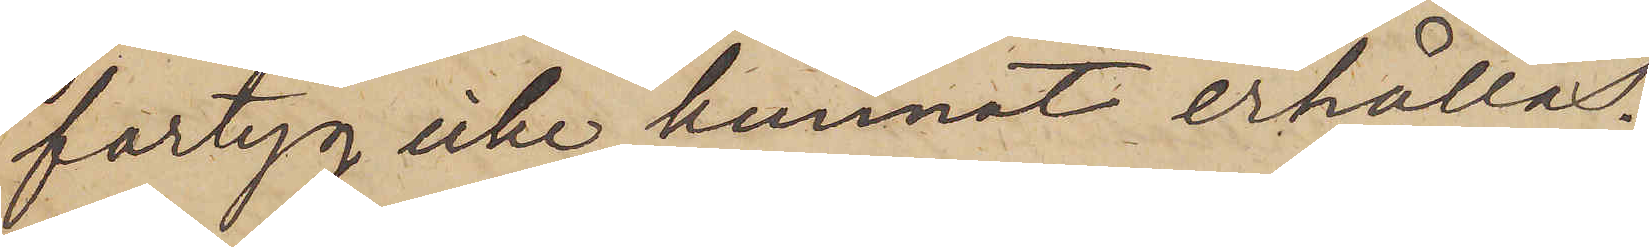fartyg icke kunnat erhållas.
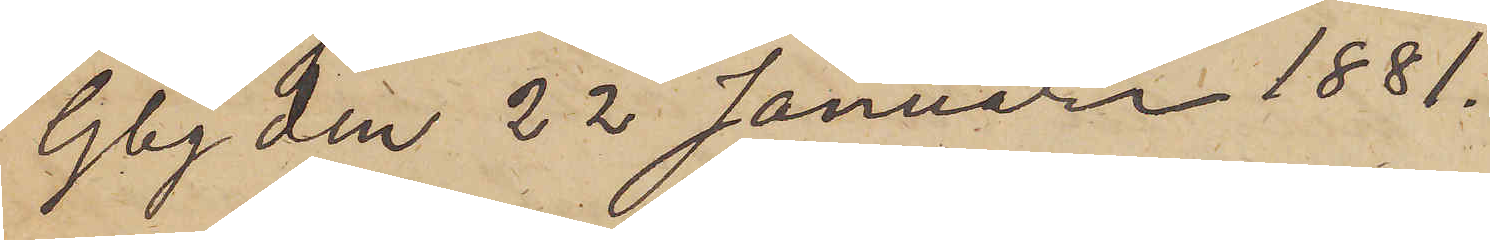Gbg den 22 Januari 1881.
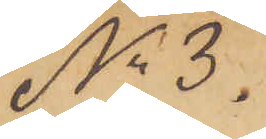No 3.
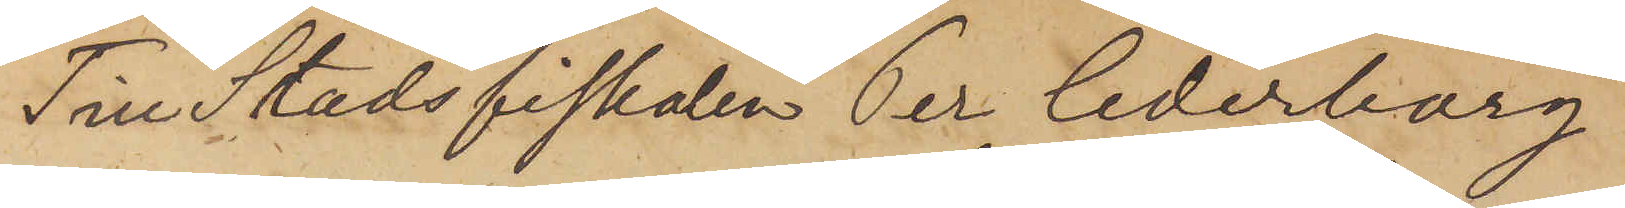Till Stadsfiskalen Per Cederborg
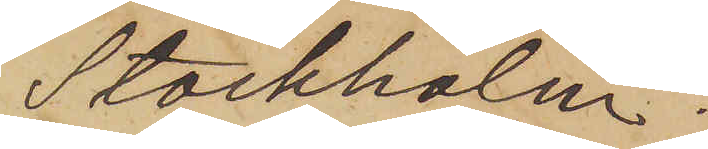Stockholm.
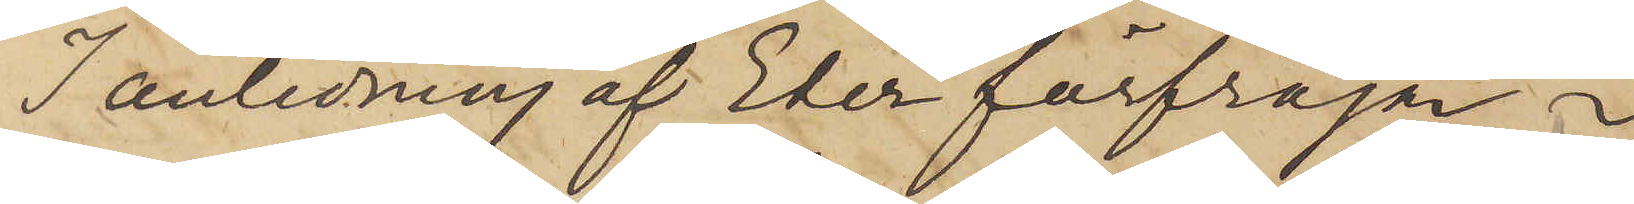I anledning af Eder förfrågan i
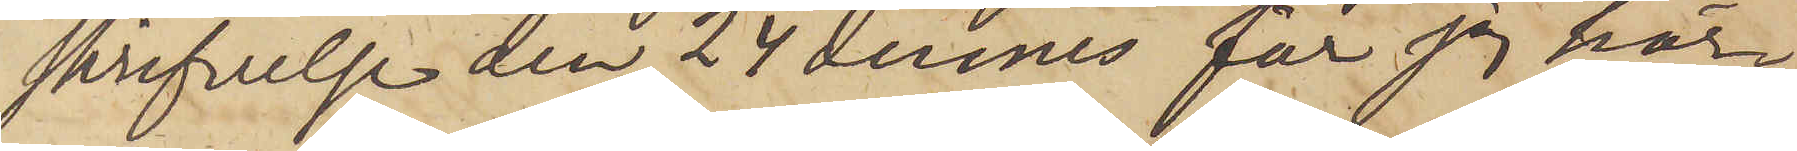skrifvelse den 24 dennes får jag här¬
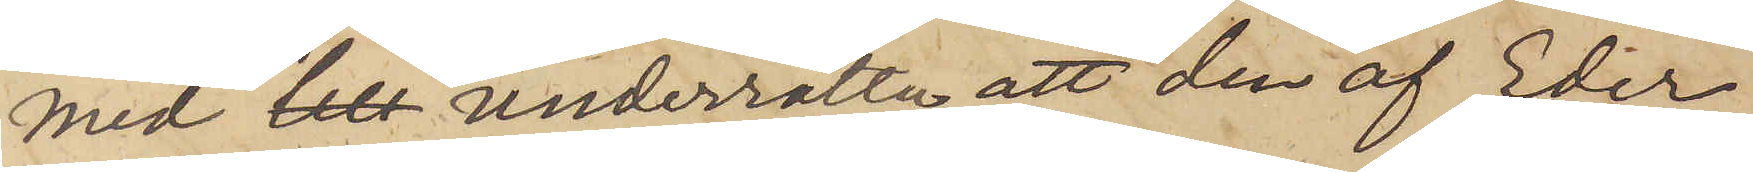med underrätta, att den af Eder
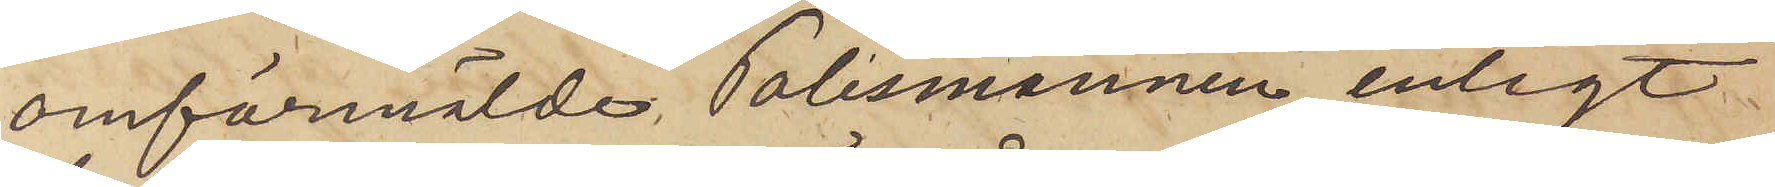omförmälde Polismannen, enligt
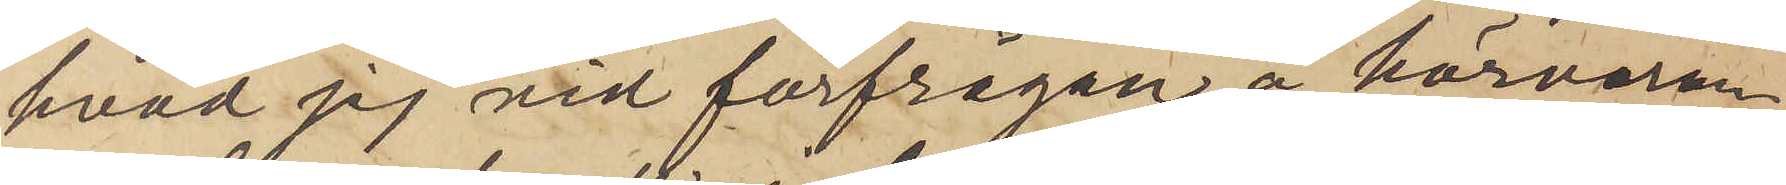hvad jag vid förfrågan å härvaran¬
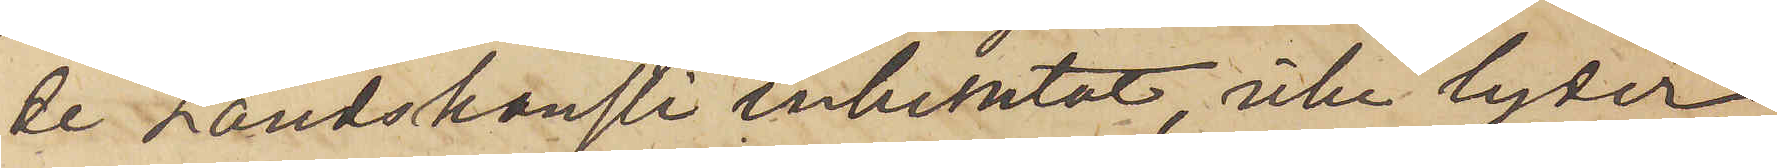de Landskansli inhemtat, icke lyder
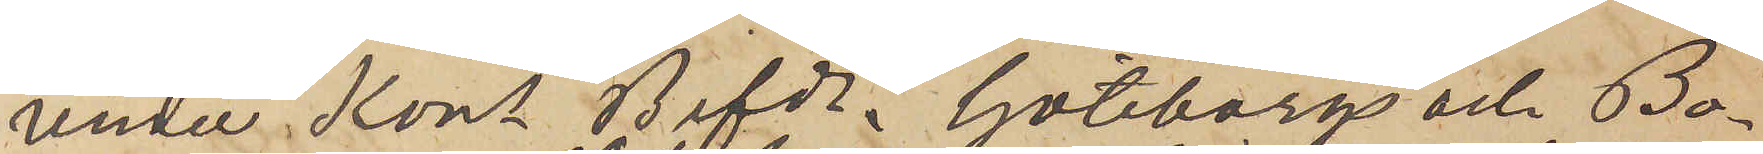under Kungl. Befd. i Göteborgs och Bo¬
